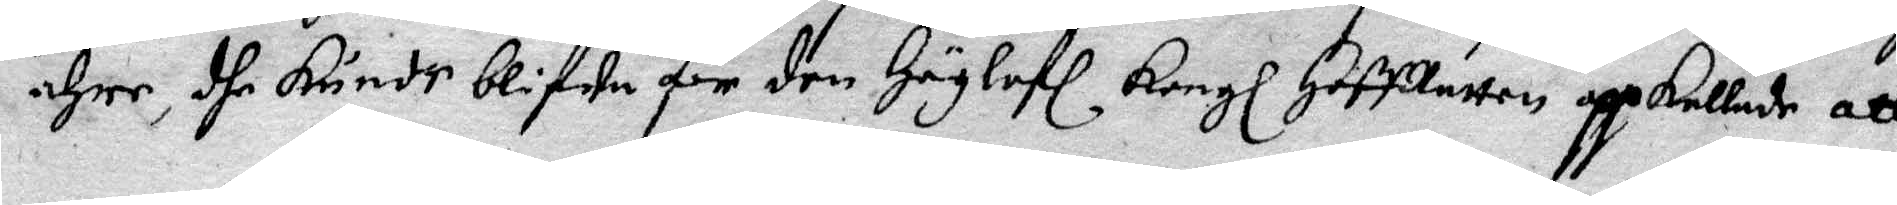ähre, dhe kunde blifwa för den Höglofl Kongl HoffRätten uppkallade att
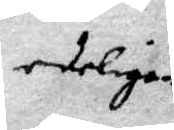edeligen
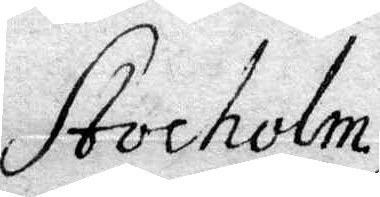Stocholm
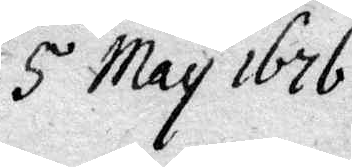5 May 1676
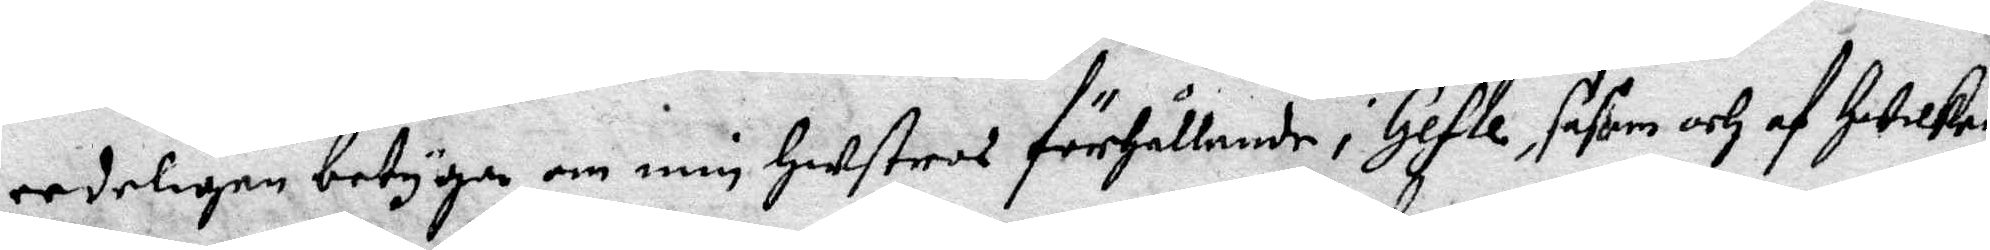eedeligen betyga im min Hustros förhållande i Gefle, såsom och af Hwilken
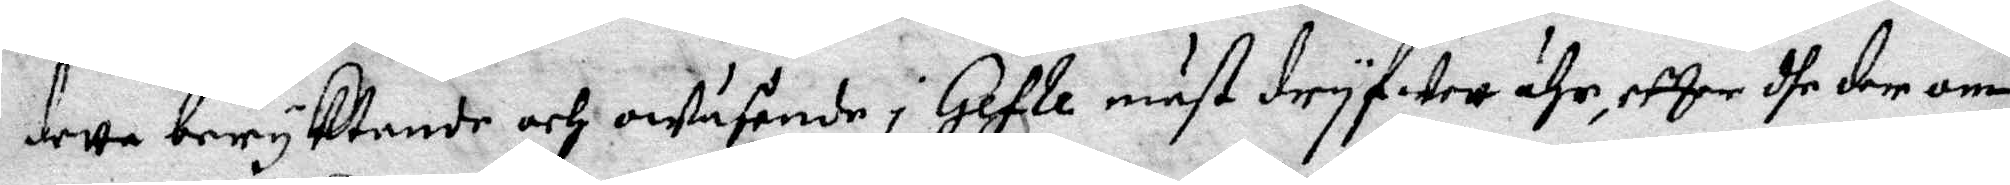dette beryktande och owäsende i Gefle mäst dryfwett ähr, efter dhe der om
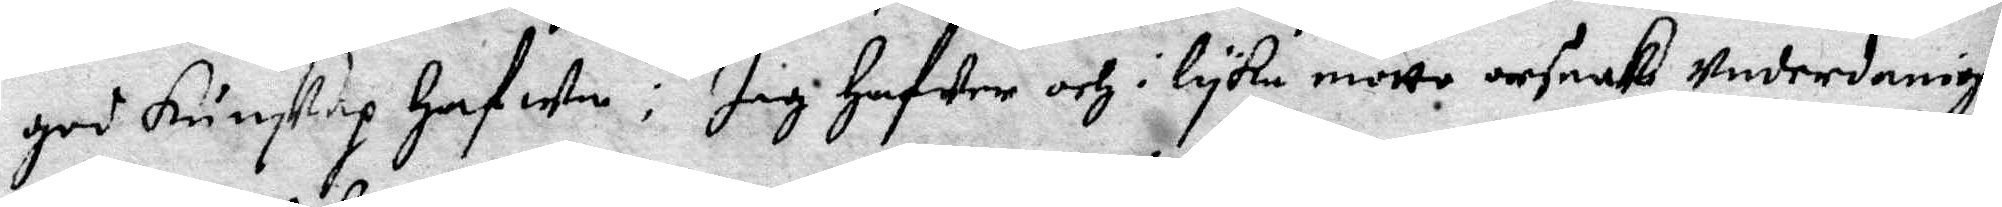god kunskap hafwa: Jag hafwer och i lyka motto orsak Underdanigt
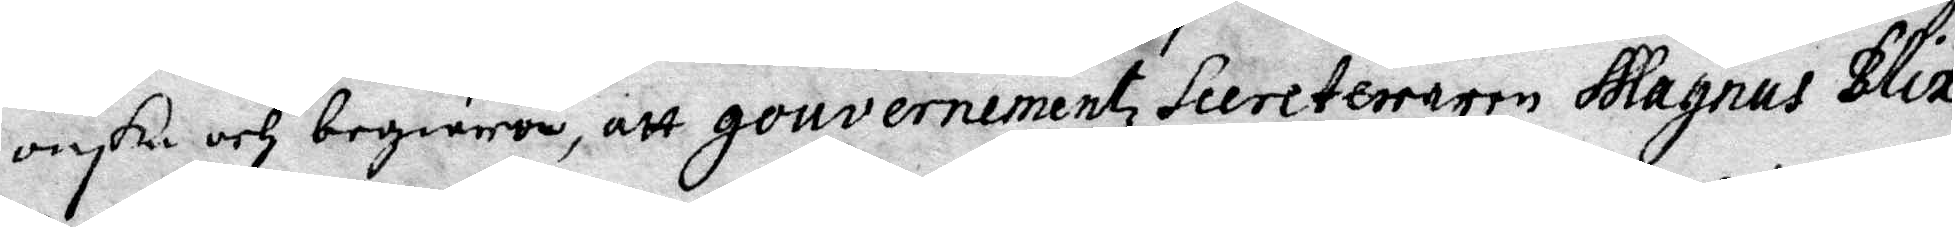önske och begiäran, att gouvernementz Secreteraren Magnus Blix
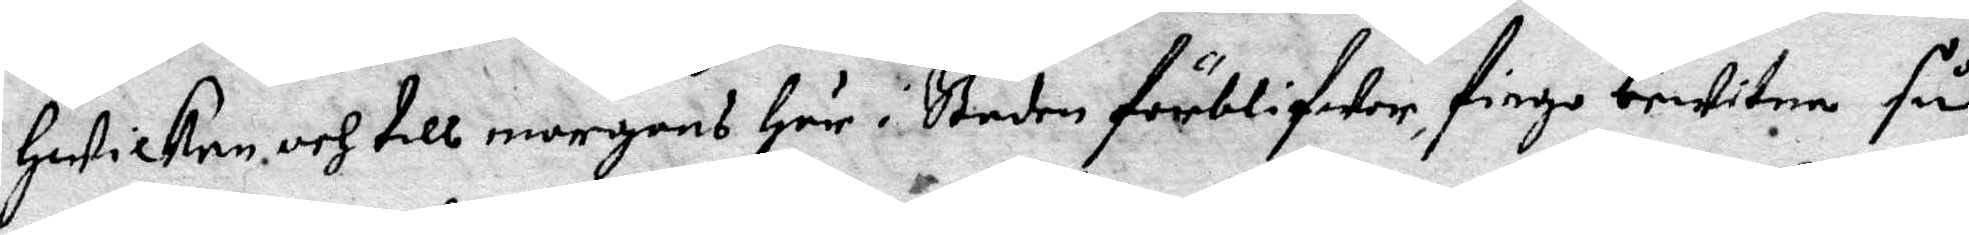Hwilken och till morgens Här i staden förblifwer, fingo bewitna så¬
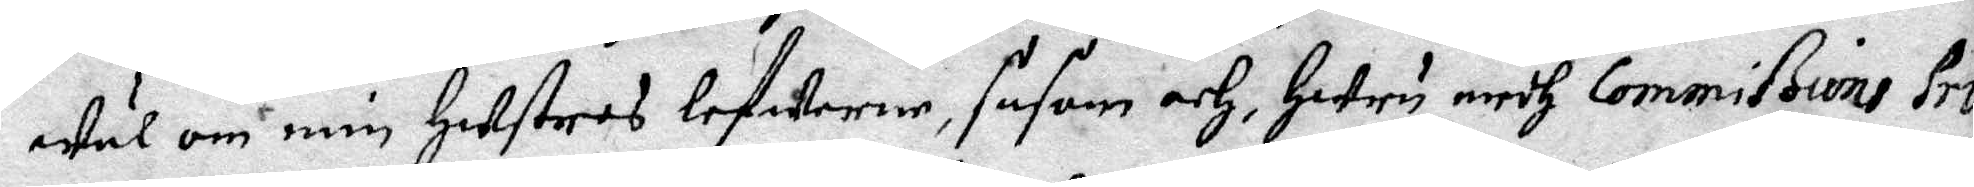wäl om min Hustros lefwerne, såsom och Huru medh Commißions Pro¬
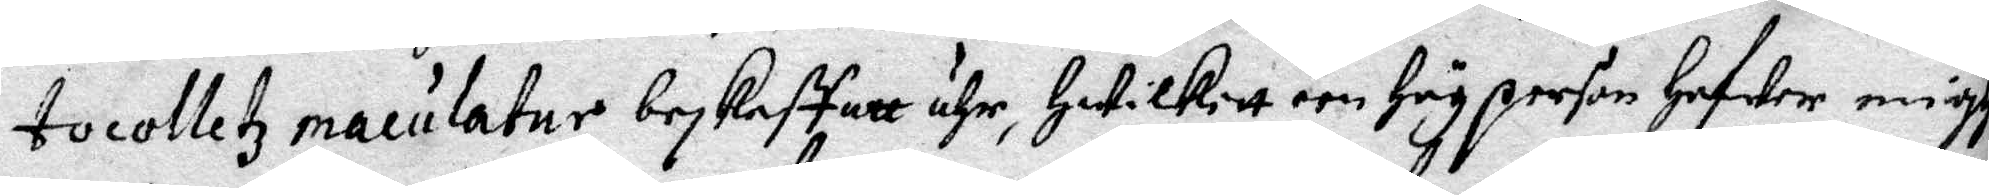tocolletz maculatur beskaffatt ähr, Hwilkitt een Hög person Hafwer migh
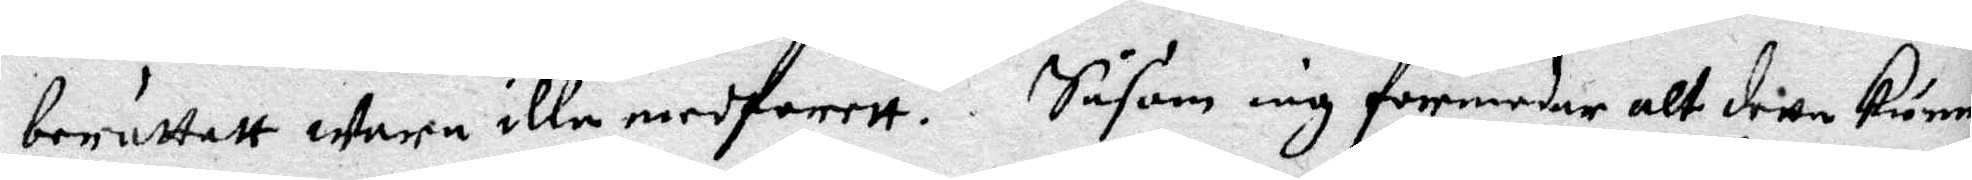berättatt wara iall medfarett. Såsom iag formodar alt detta kunna
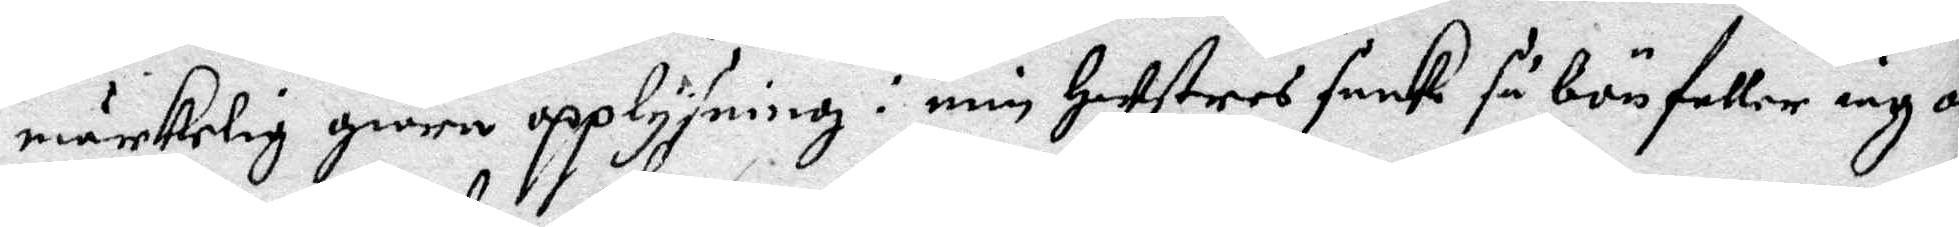märkelig giöra upplysning i min Hustros saak så bönfaller iag om
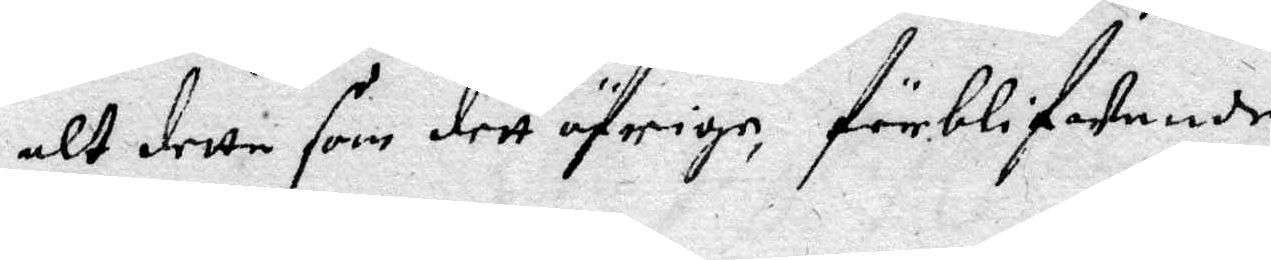alt detta som dett öfrige, förblifwande
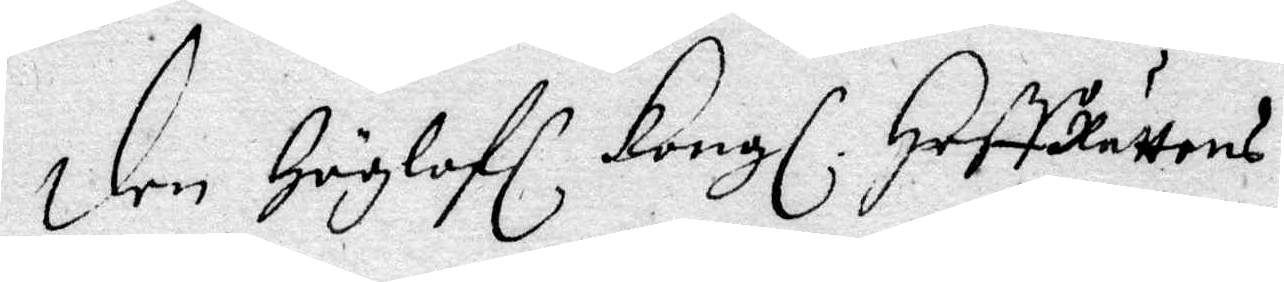den Höglofl Kongl HoffRättens
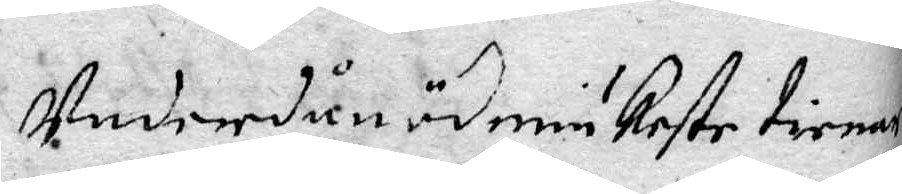Underdånödmiukeste tienare
